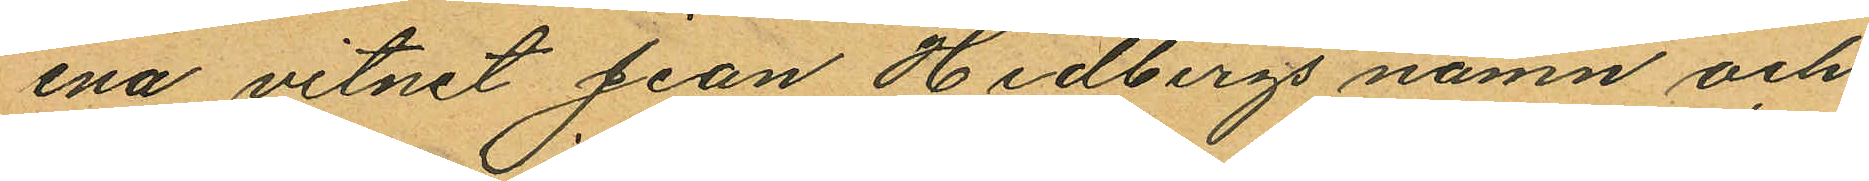ena vitnet Jean Hedbergs namn och
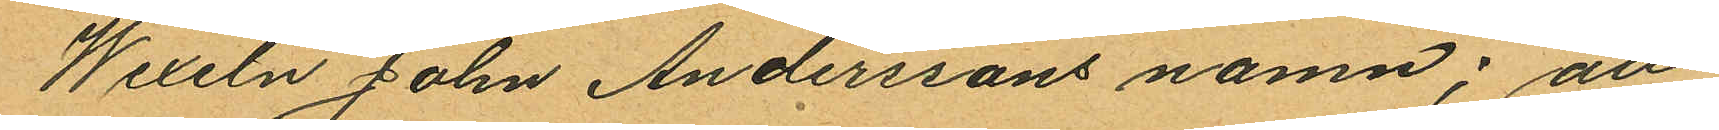Wexeln John Anderssons namn; att
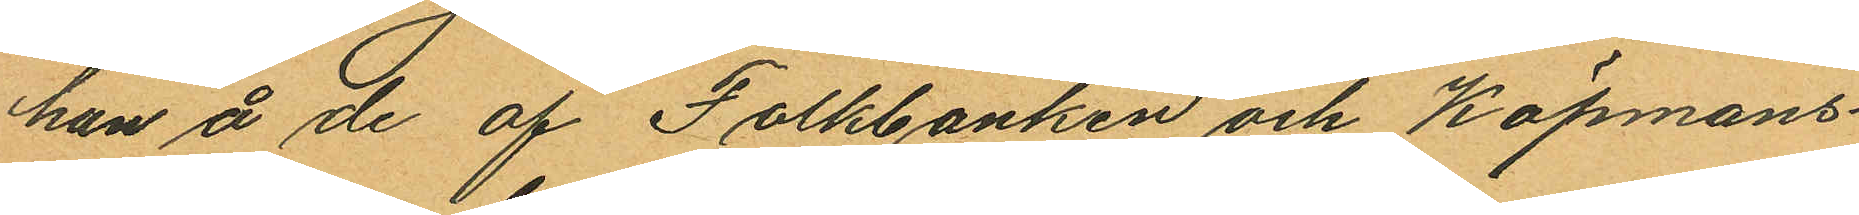han å de af Folkbanken och Köpmans¬
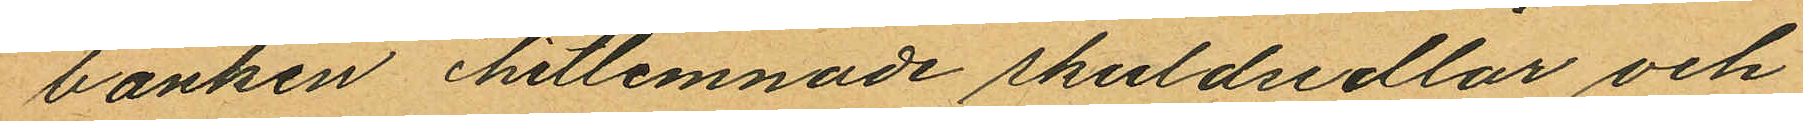banken hitlemnade skuldsedlar och
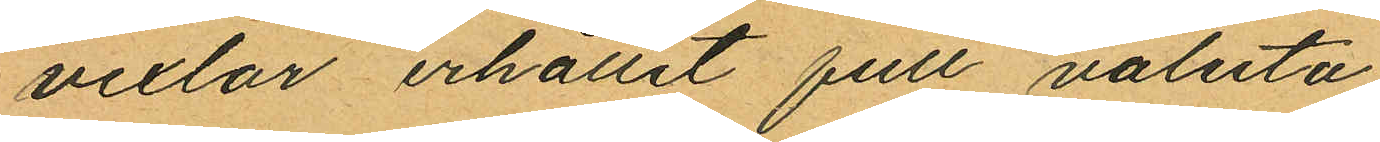vexlar erhållit full valuta;
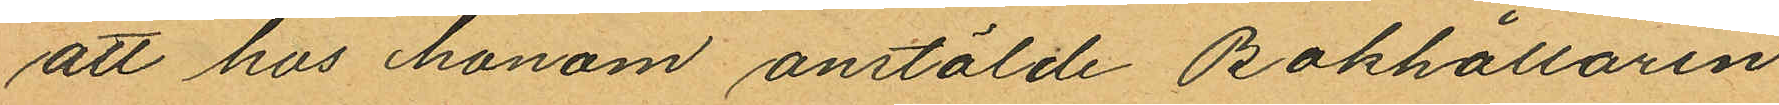att hos honom anstälde Bokhållaren
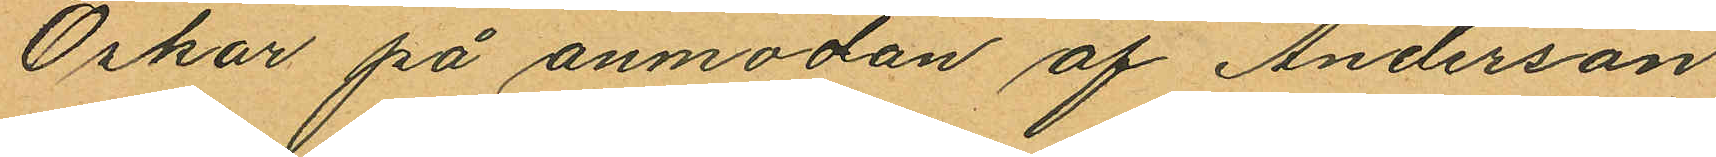Oskar på anmodan af Anderson
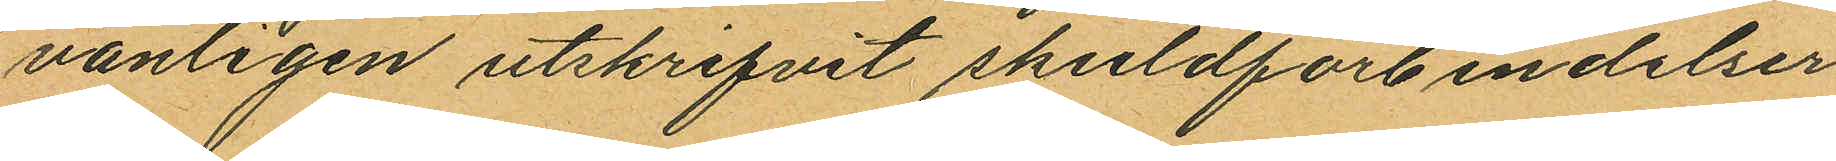vanligen utskrifvit skuldförbindelser
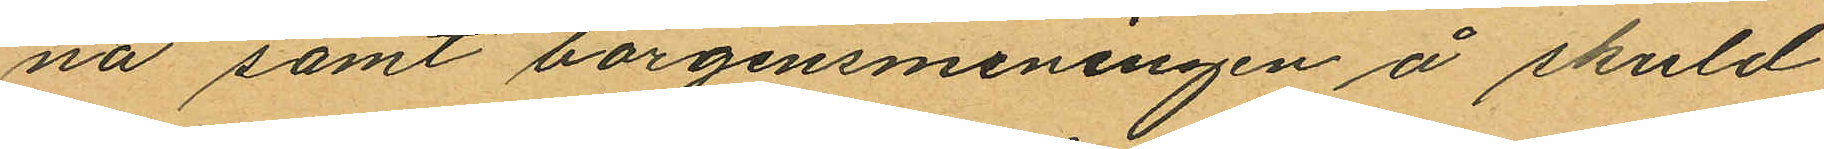na samt borgensmeningen å skuld
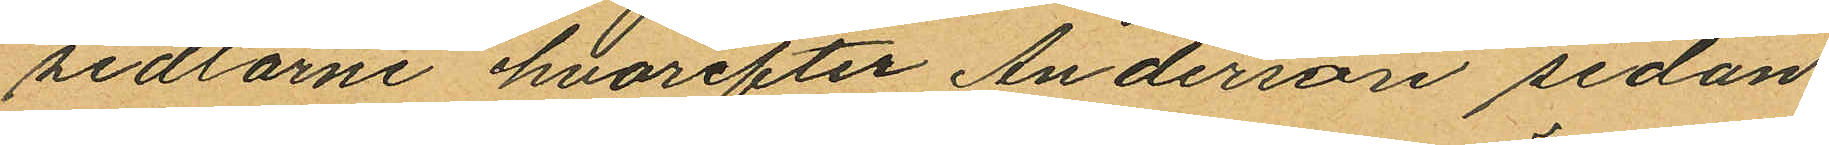sedlarne hvarefter Anderson sedan
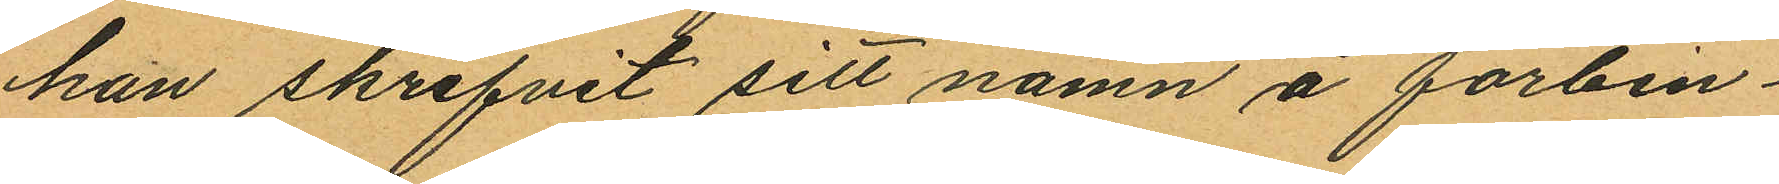han skrifvit sitt namn å förbin¬
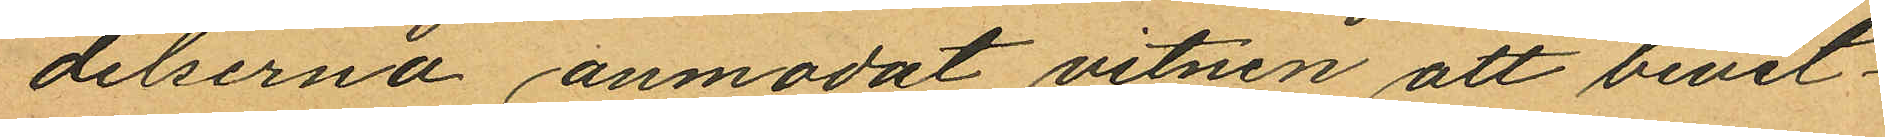delserna anmodat vitnen att bevit¬
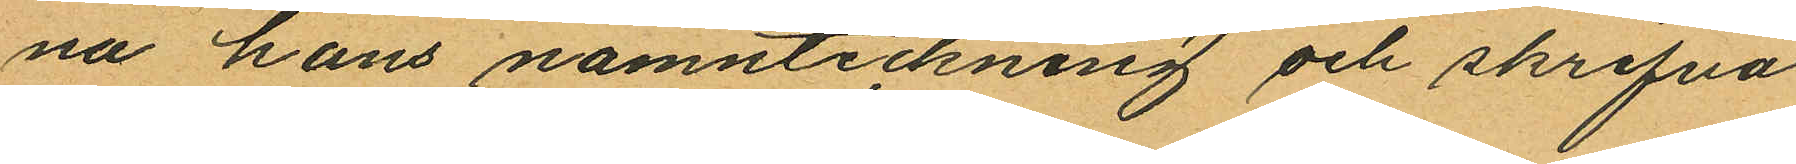na hans namnteckning och skrifva
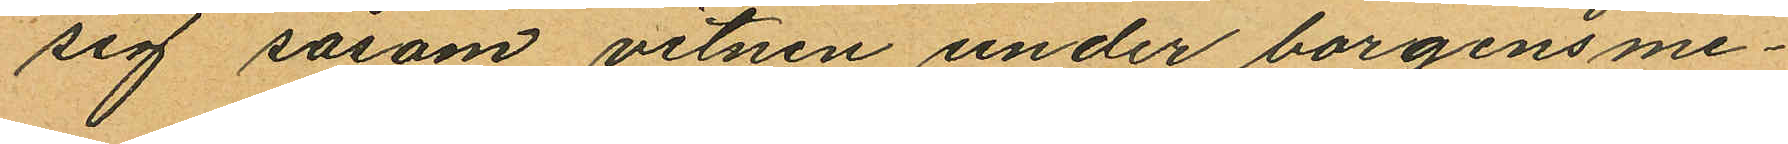sig såsom vitnen under borgensme¬
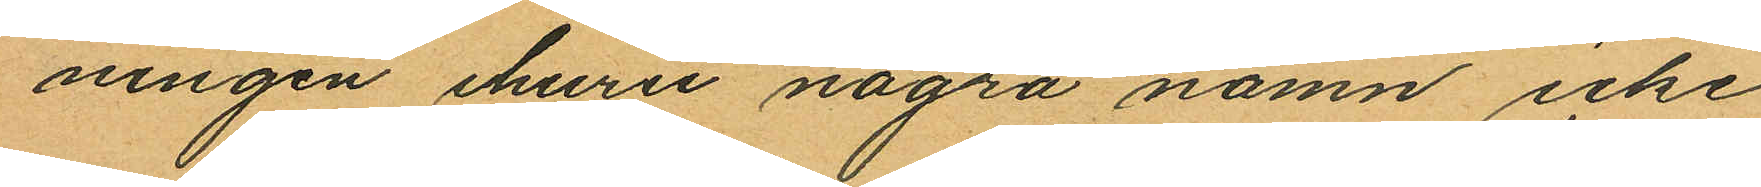ningen ehuru några namn icke
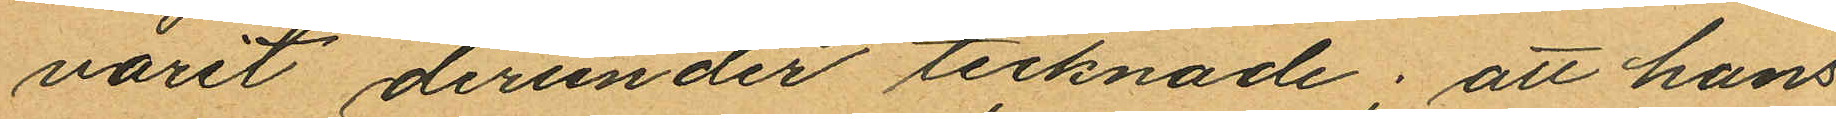varit derunder tecknade; att hans
